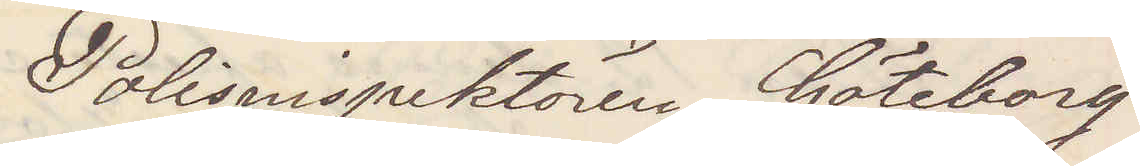Polisinspektören Göteborg
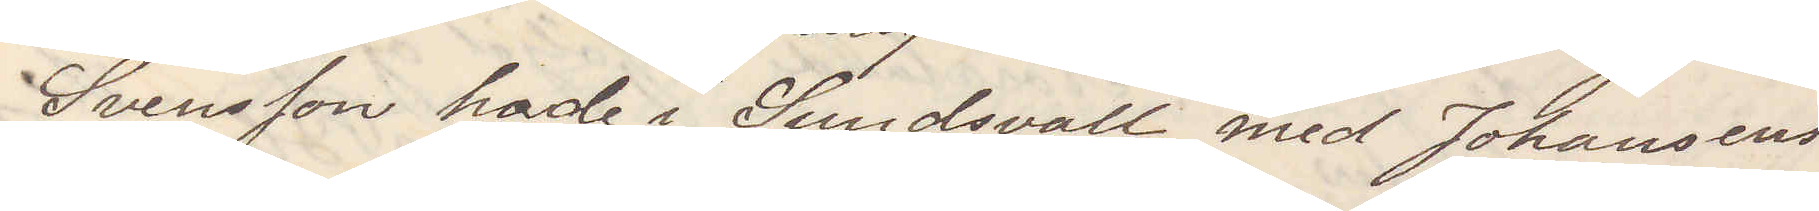Svensson hade i Sundsvall med Johansens
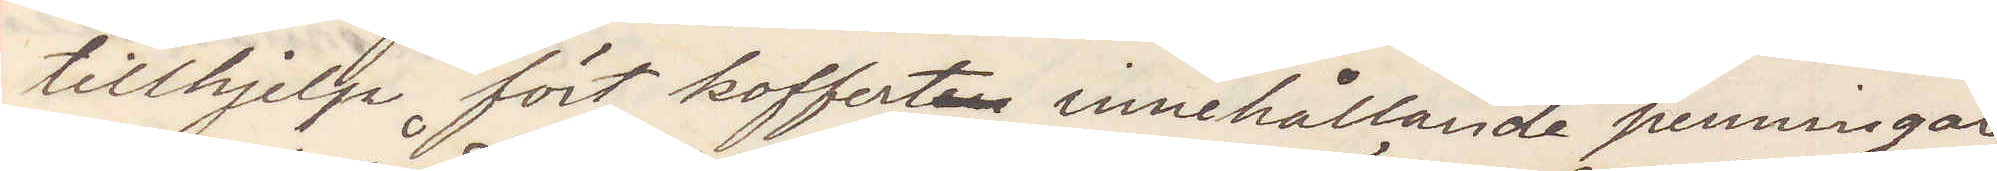tillhjelp fört kofferten  innehållande penningar
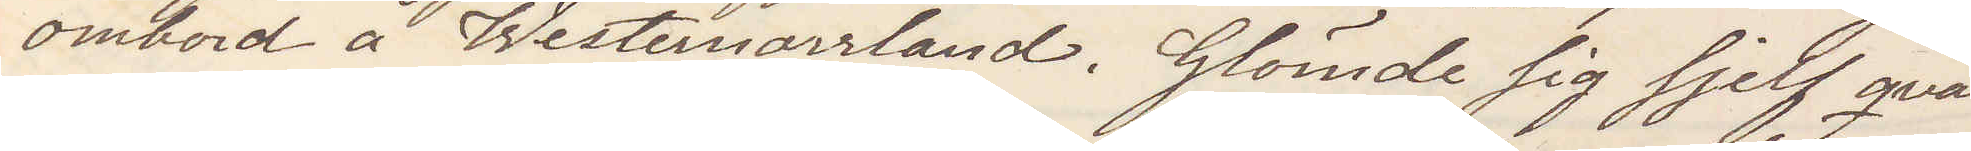ombord å Westernorrland. Glömde sig sjelf qvar
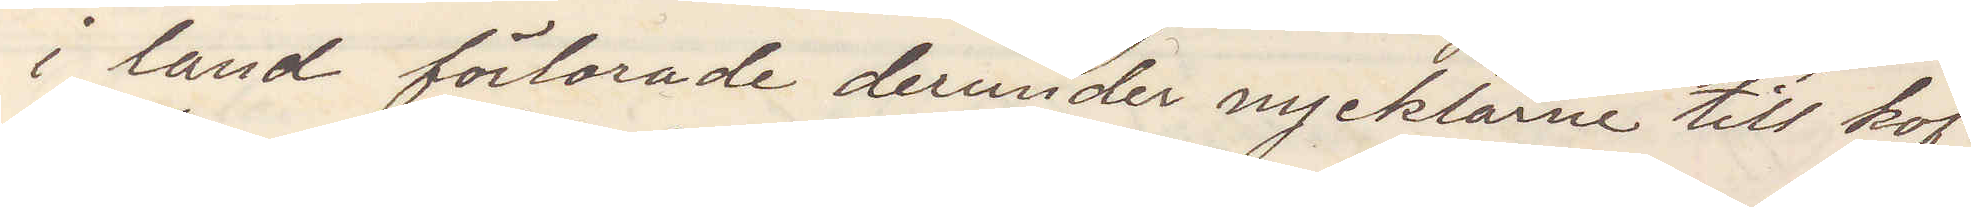i land förlorade derunder nycklarne till kof¬
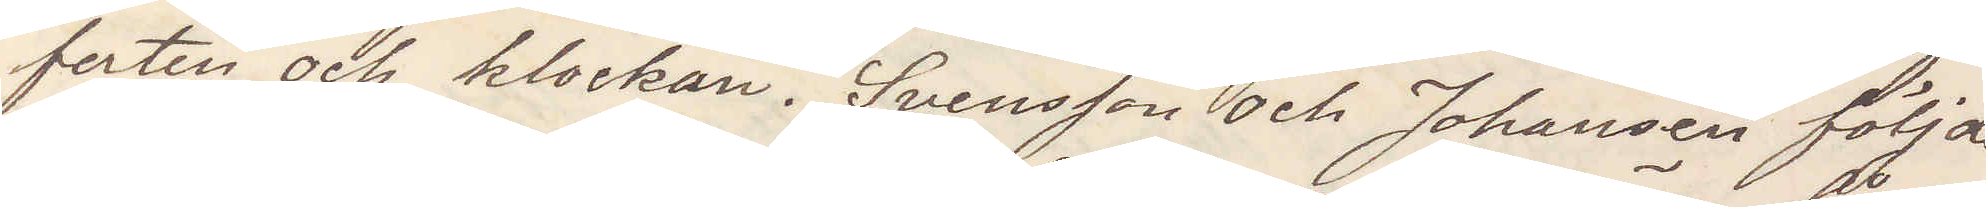ferten och klockan Svensson och Johansen följde
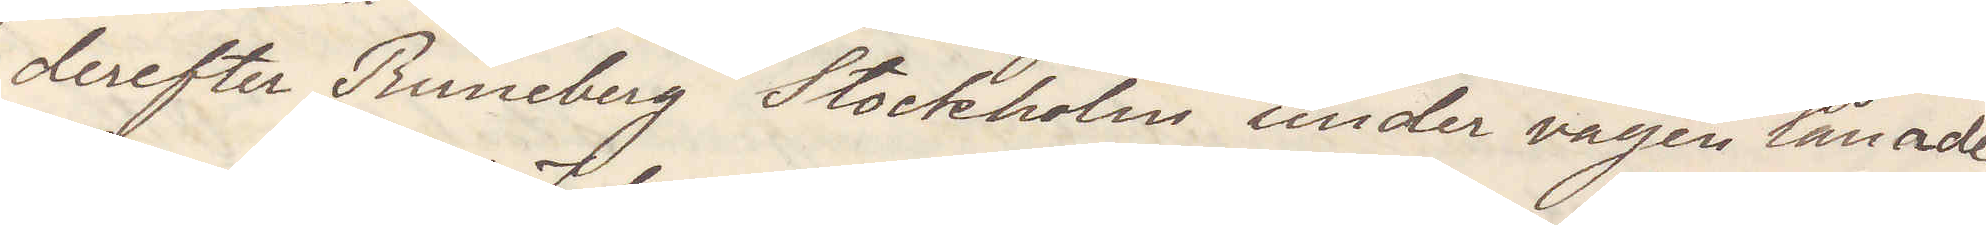derefter Runeberg Stockholm under vägen lånade
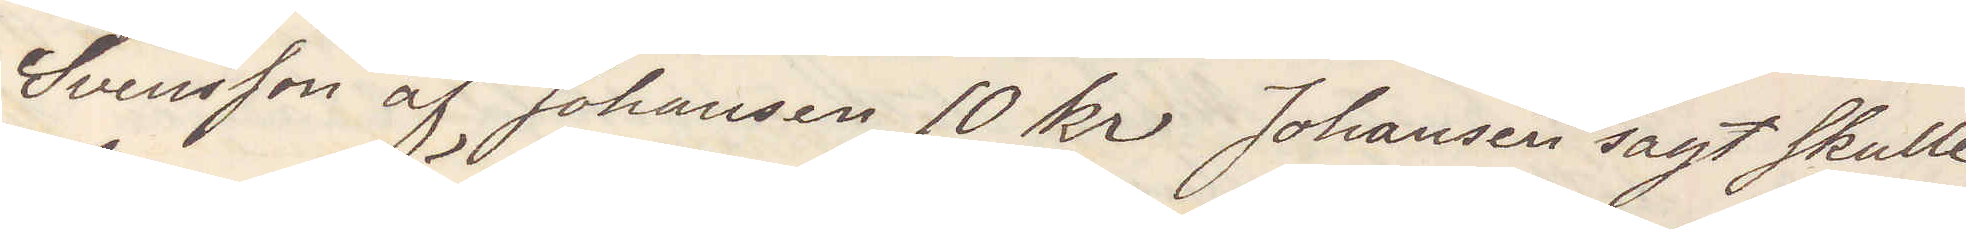Svensson af Johansen 10 kr Johansen sagt skulle
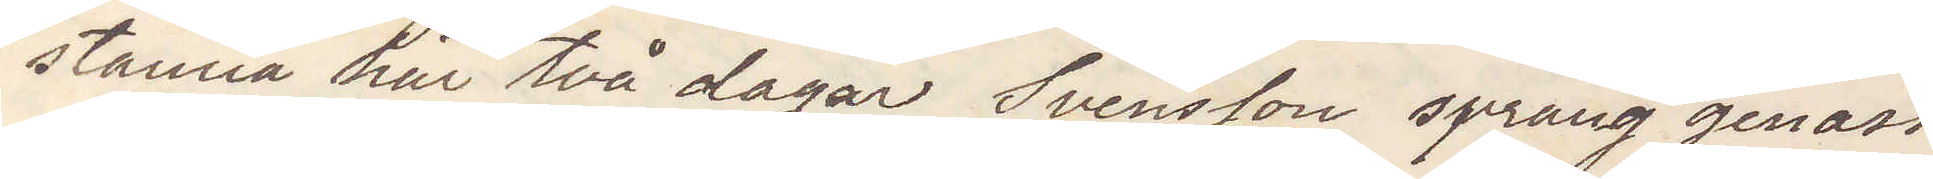stanna här två dagar Svensson sprang genast
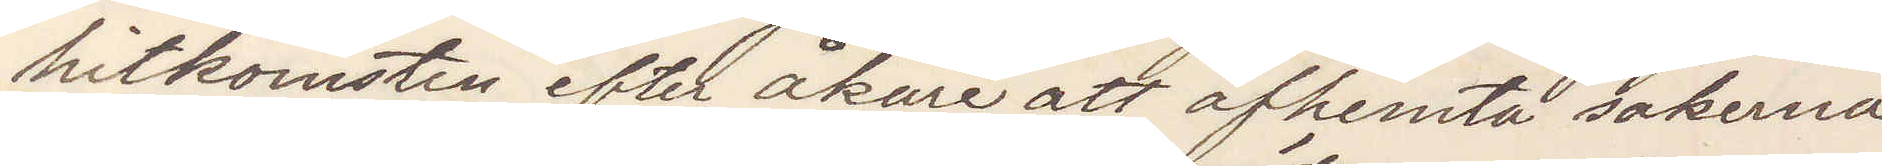hitkomsten efter åkare att afhemta sakerna
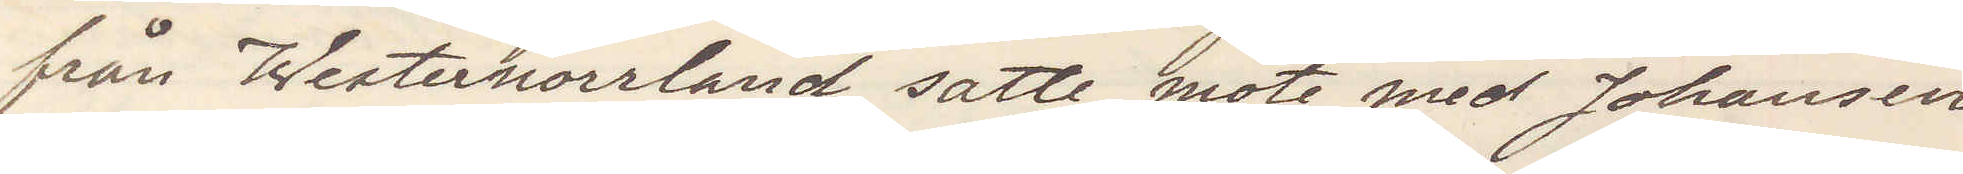från Westernorrland satte möte med Johansen
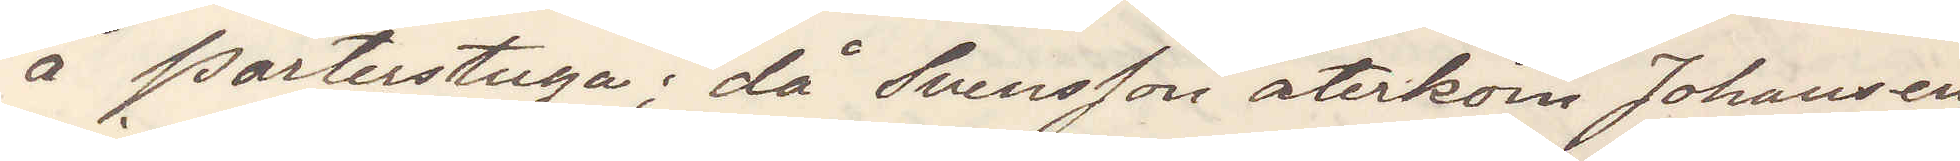å Porterstuga; då Svenson återkom Johansen
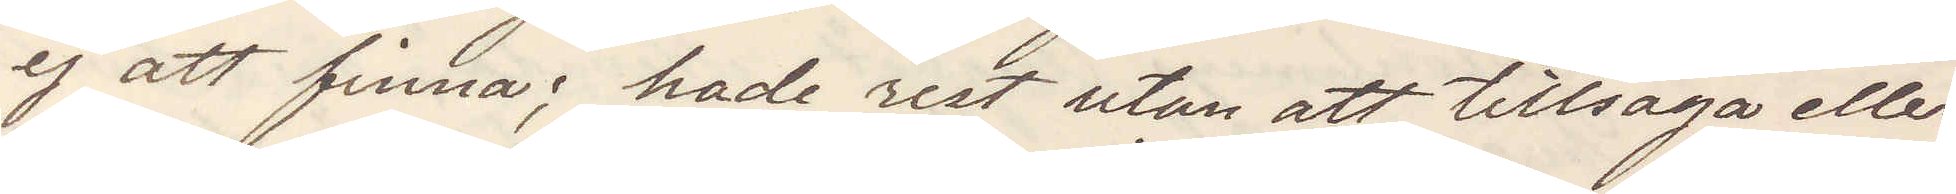ej att finna; hade rest utan att tillsäga eller
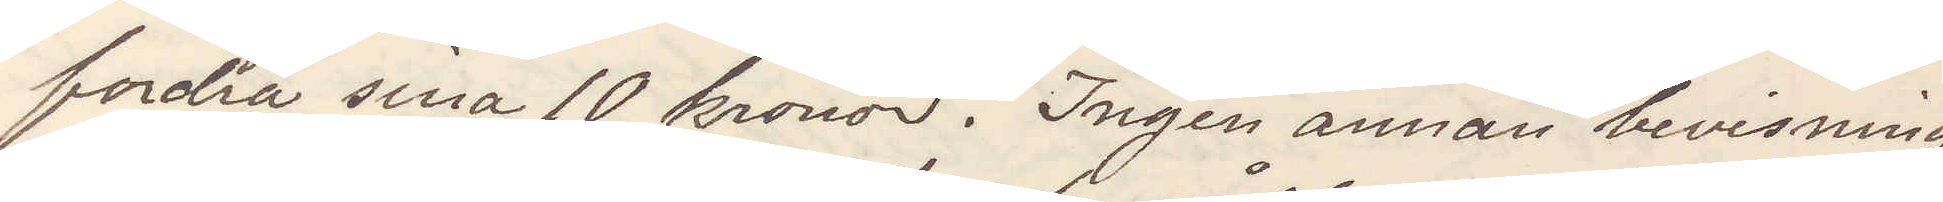fordra sina 10 kronor. Ingen annan bevisning
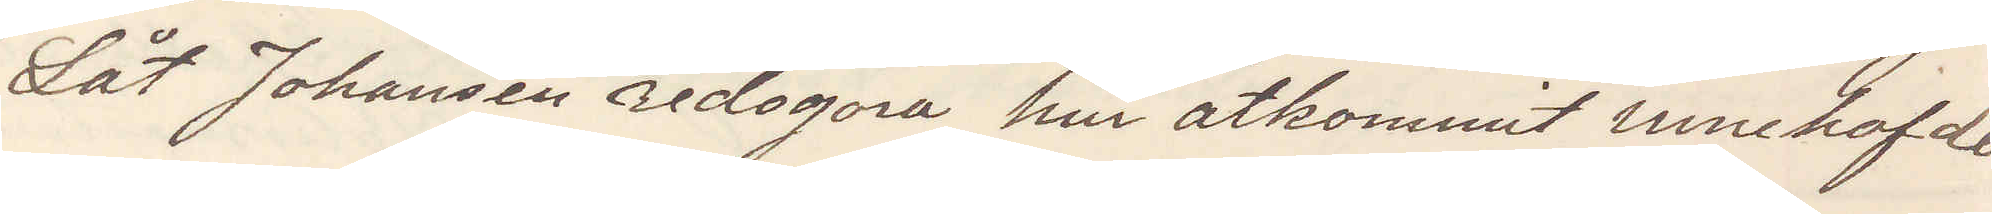Låt Johansen redogöra hur åtkommit innehafde
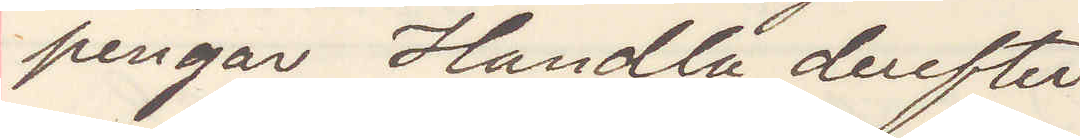pengar Handla derefter
